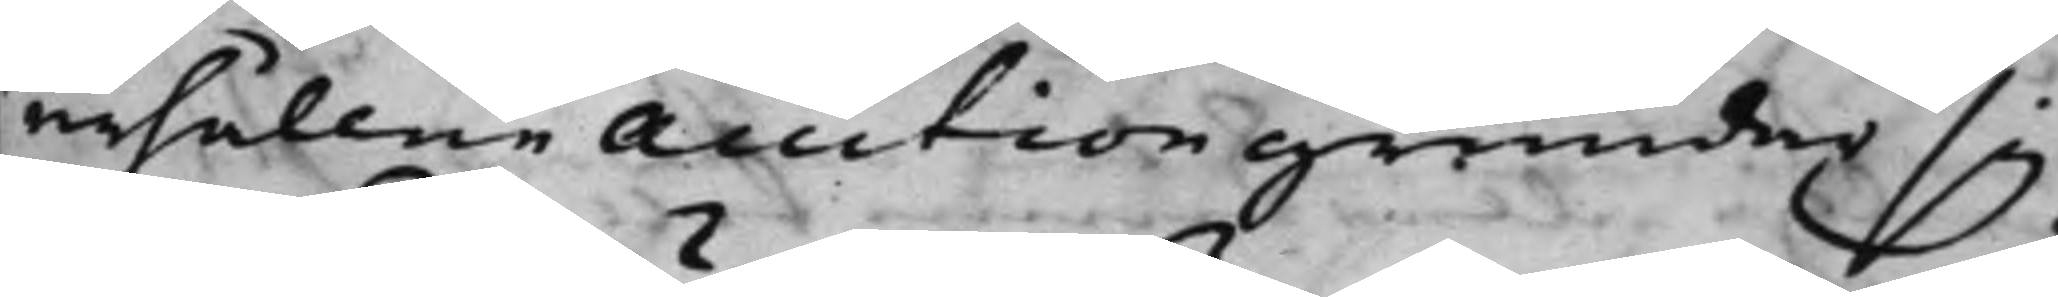erhållne Auction grundar sig
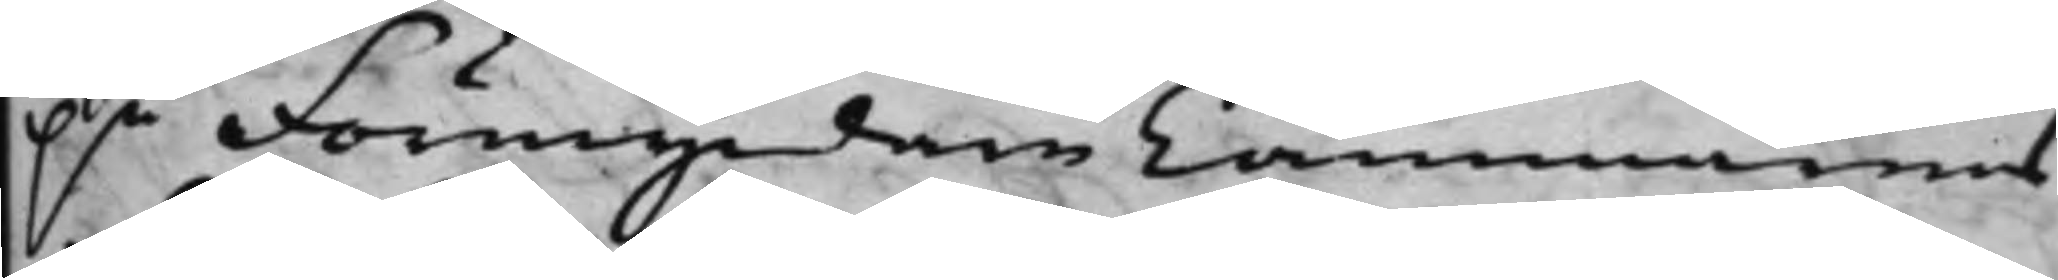på Förmyndare Cammarens
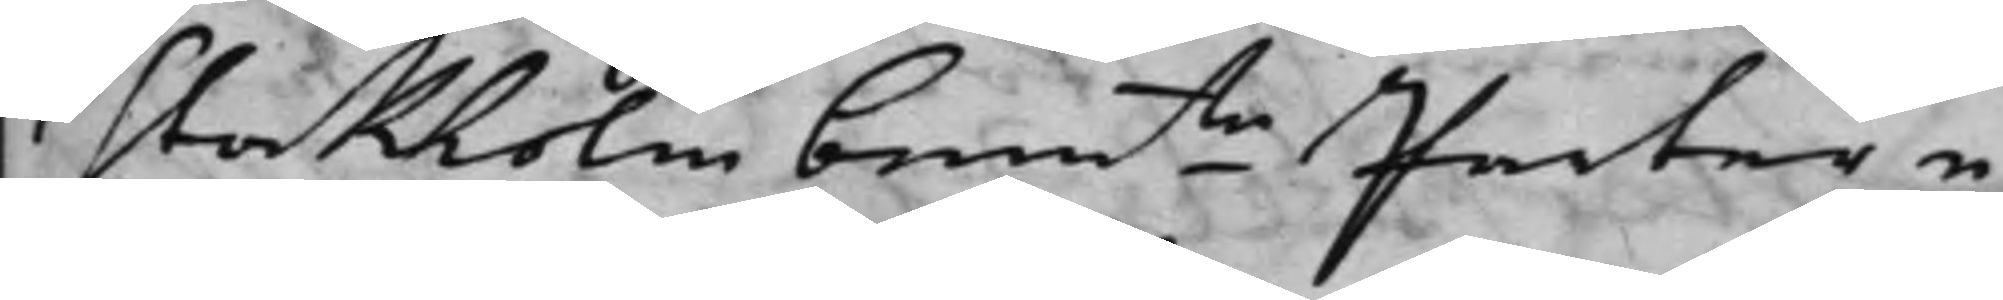i Stockholm bemte Parter e¬ 
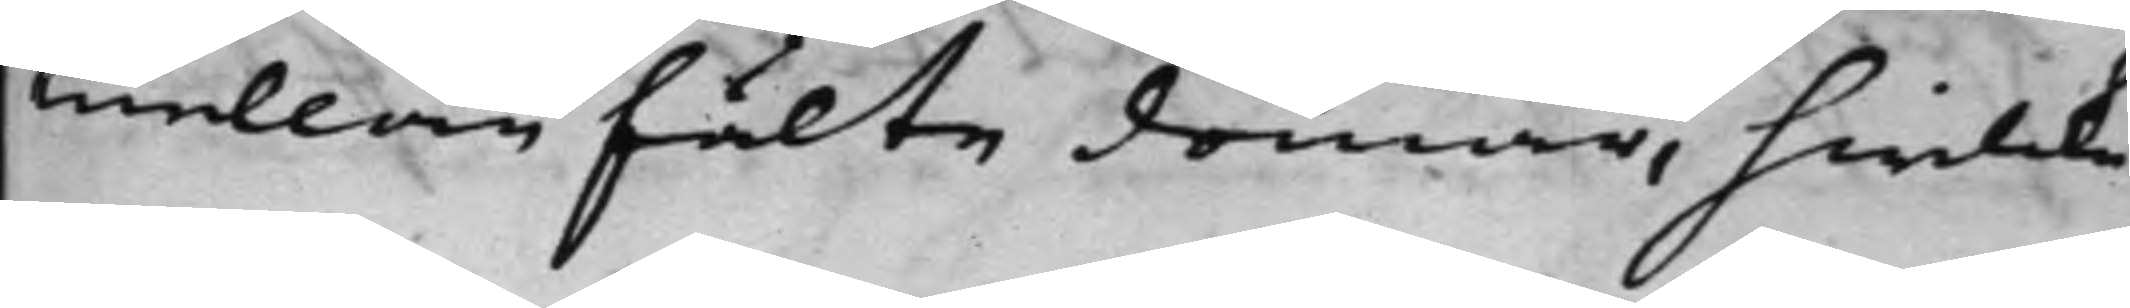mellan fälte domar, hwilcke
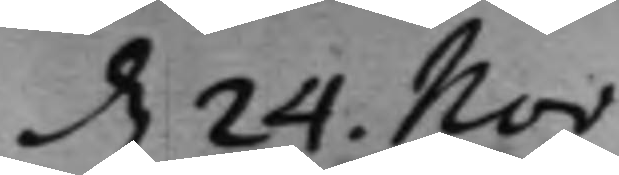d. 24. Nov.
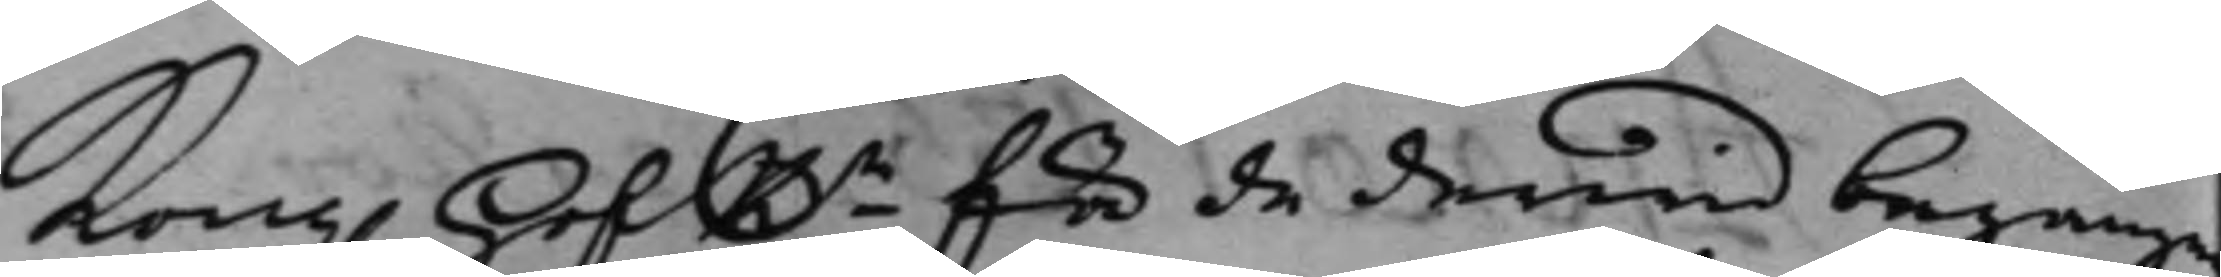Kong. HofRn för de derwid begångne
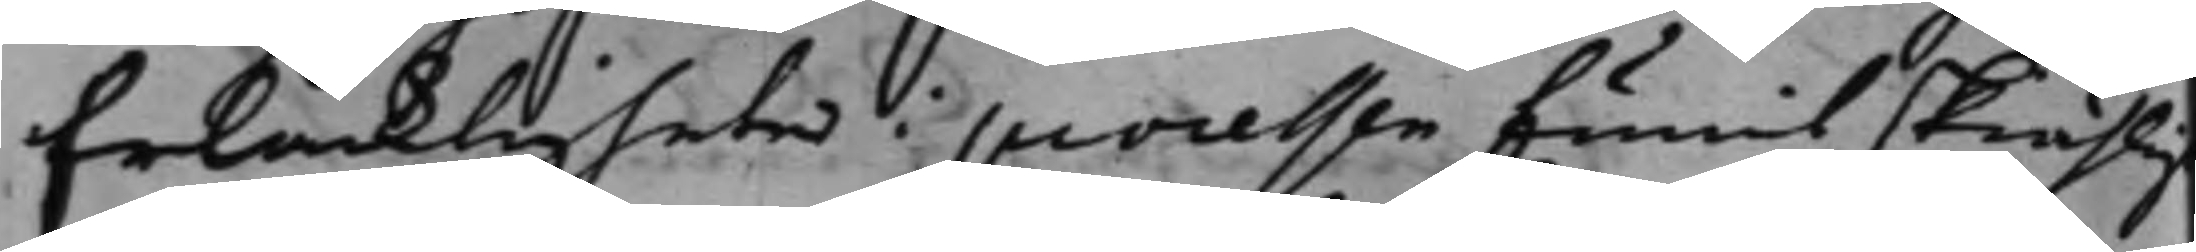felaktigheter i processen funit skiähligt
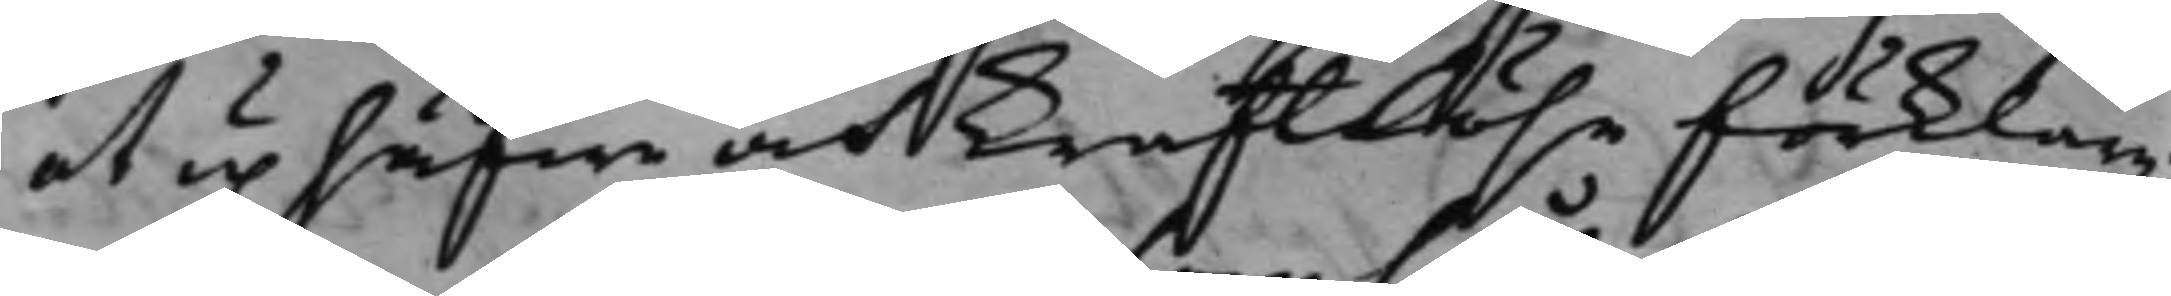at uphäfwa är kraftlöse förklara;
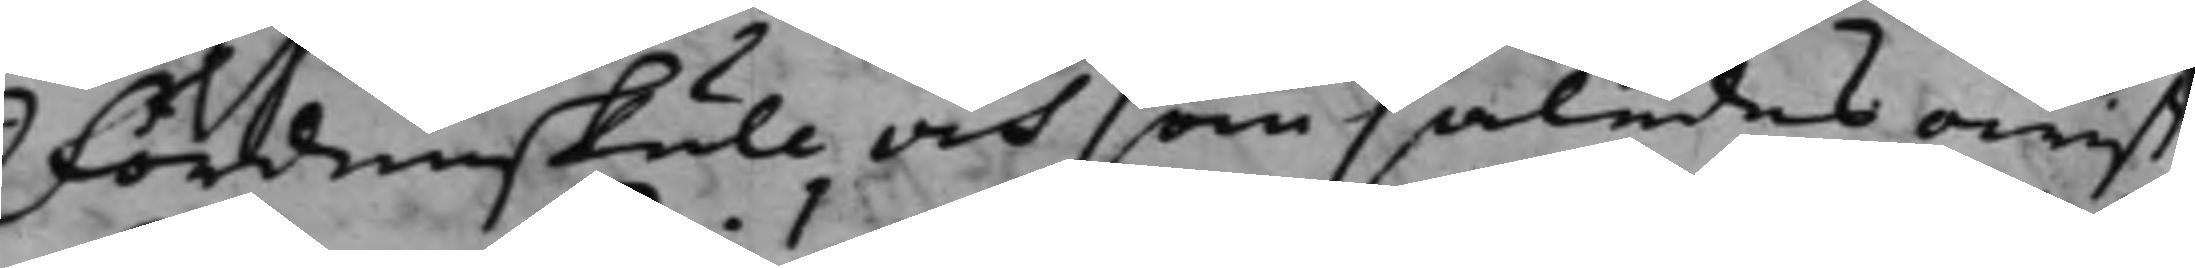Fördenskull och som således owist
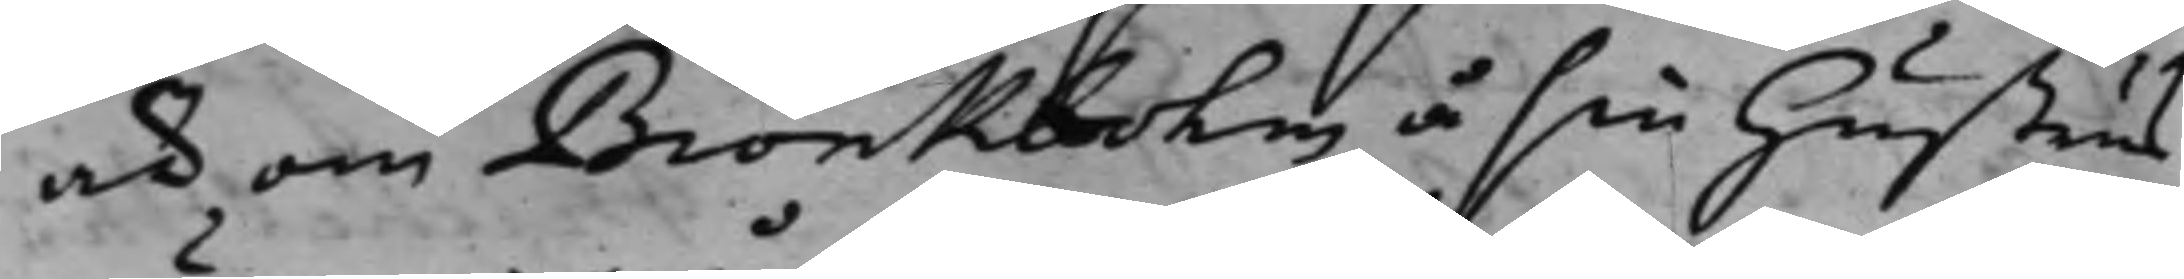är om Biörkbohm å sin hustrus
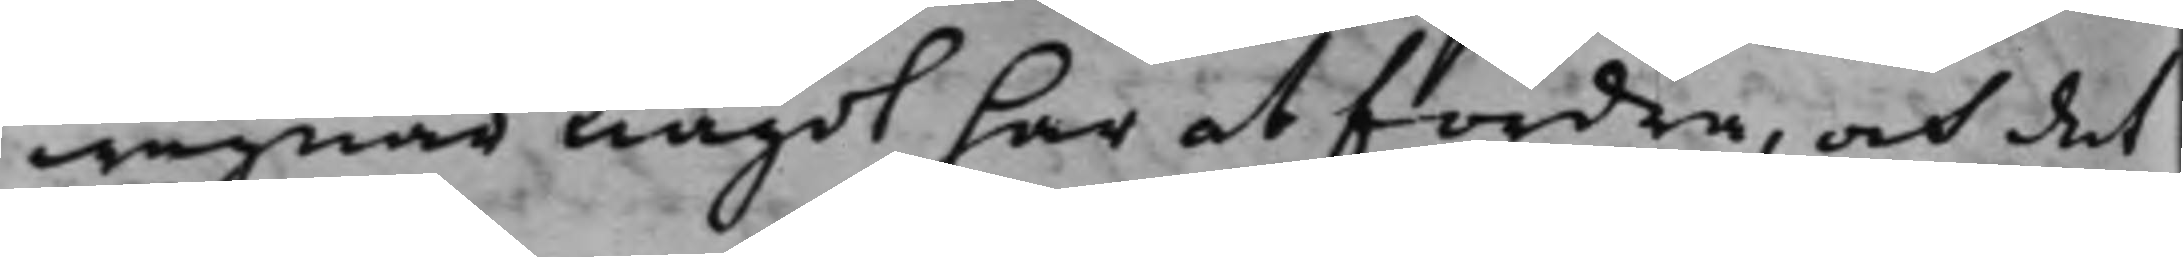wägnar något har at fordra, och det
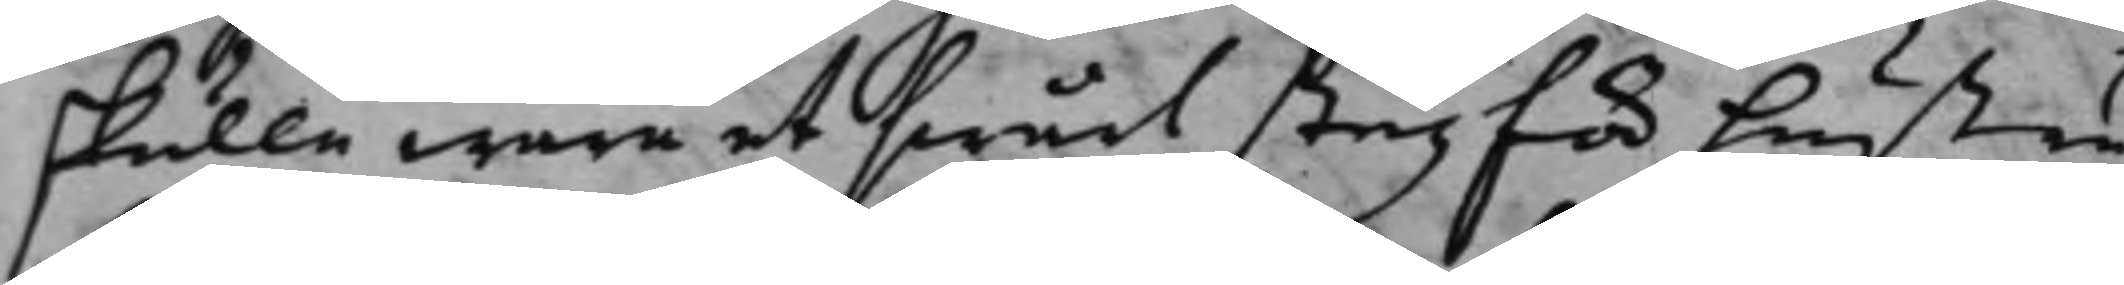skulle wara et swårt steg för hustru
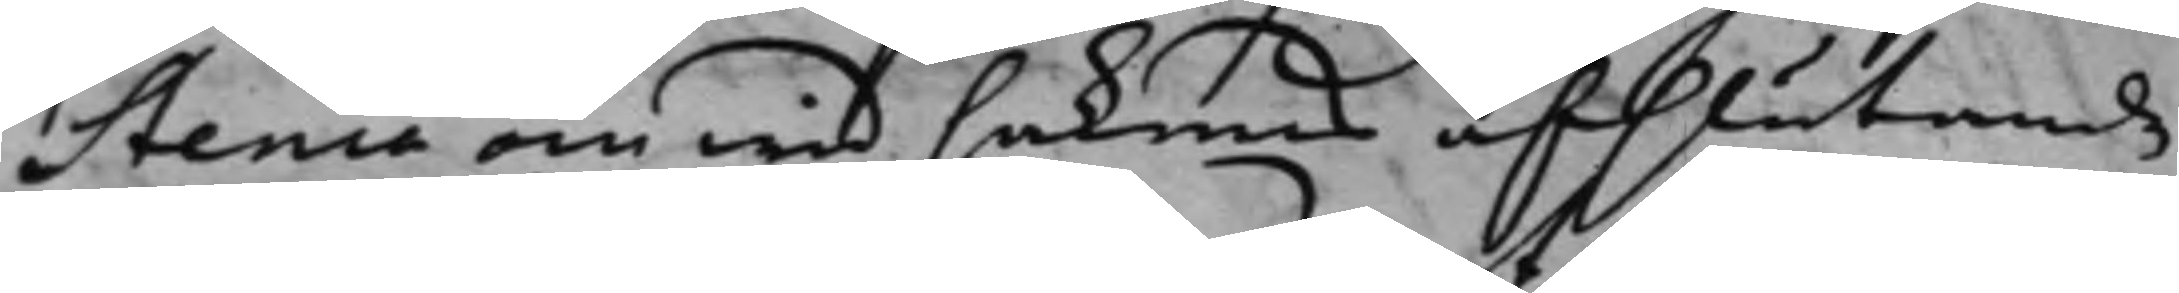Stenia om wid sakens afslutande
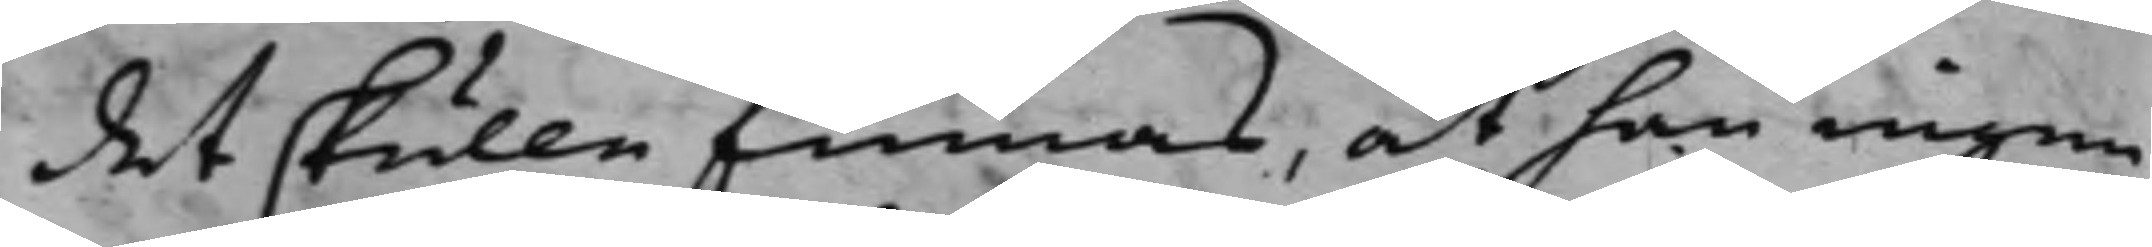det skulle finnas, at hon ingen
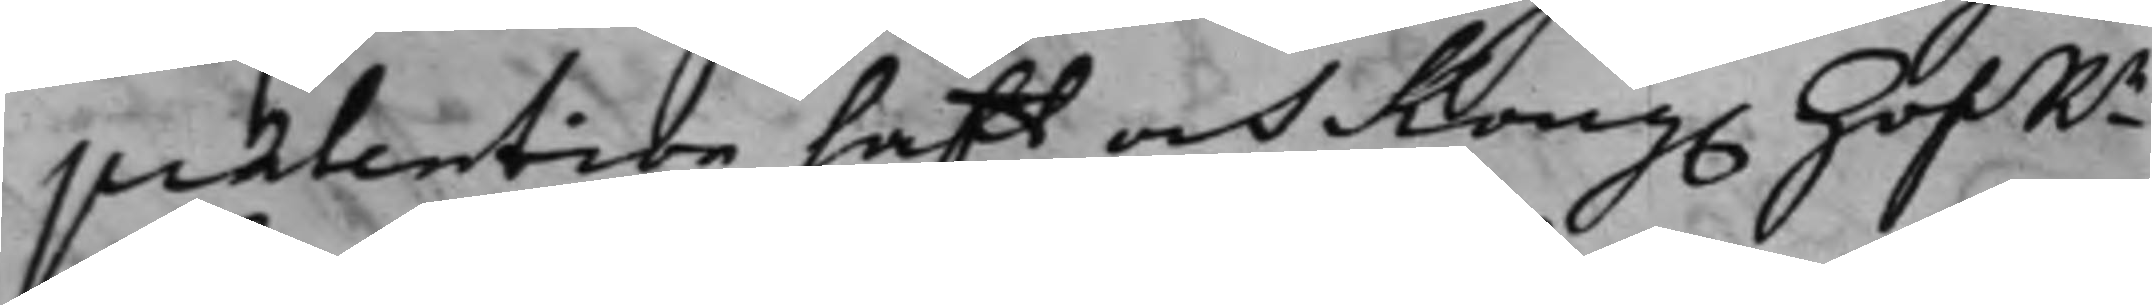prætention hafft och Kong. HofRn
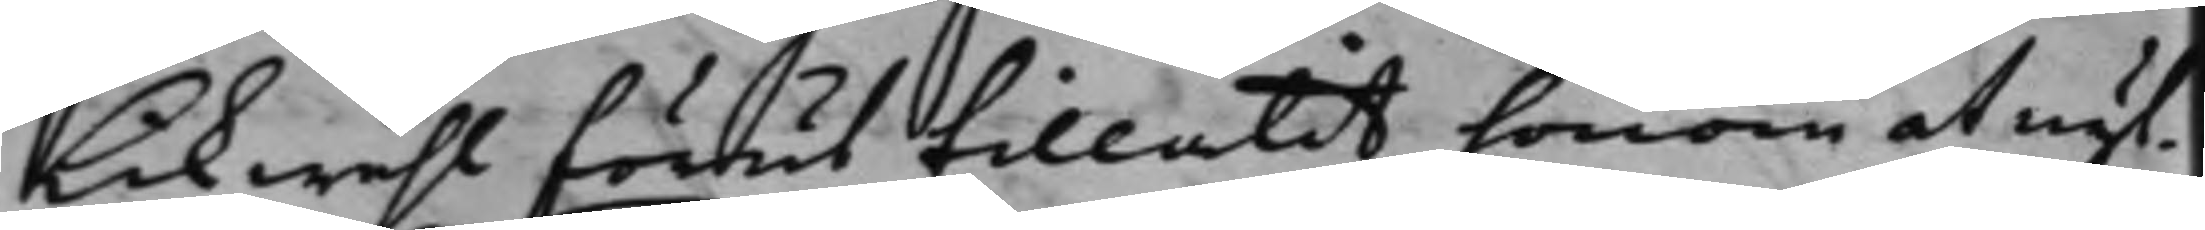likwähl förut tillåtit honom at nyt¬
